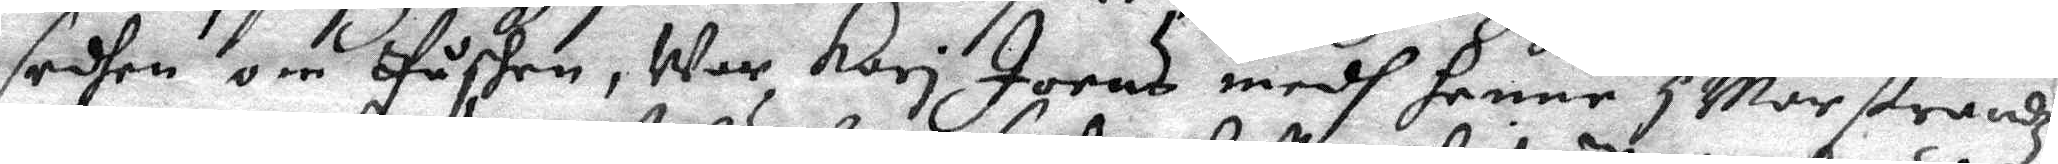sedhen om Påshen, War Kari Joens medh henne i Marstrandz
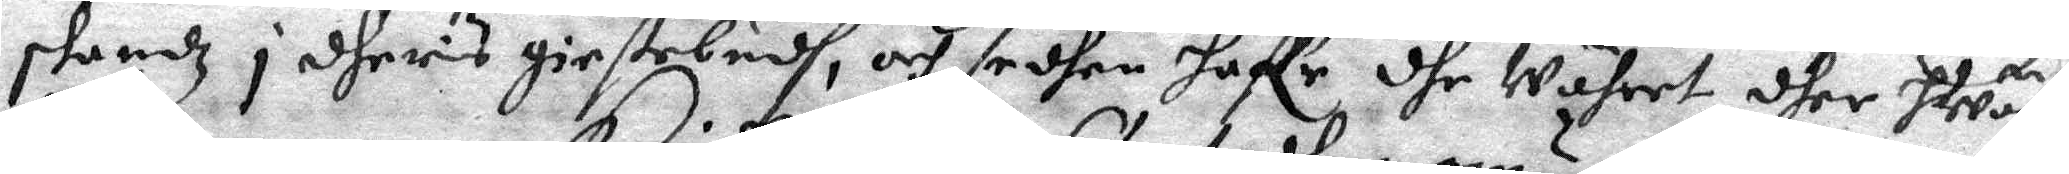skandz i dheris giestebudh, och sedhan haffr dhe Währet dher hWar
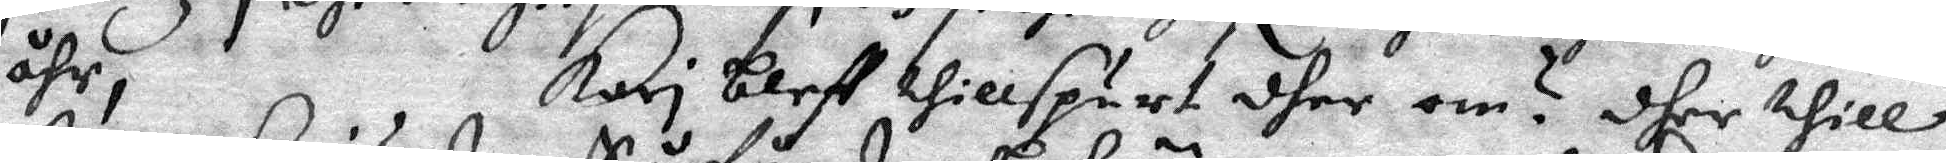åhr, Kari bleff thillspurt dher om? dher thill
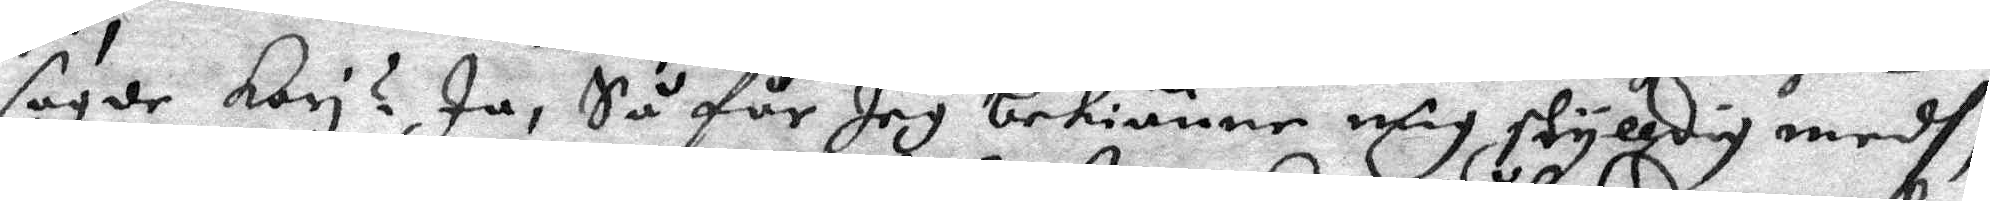sagde Kari? Ja, Så får Jag bekiänne mig skylldig medh,
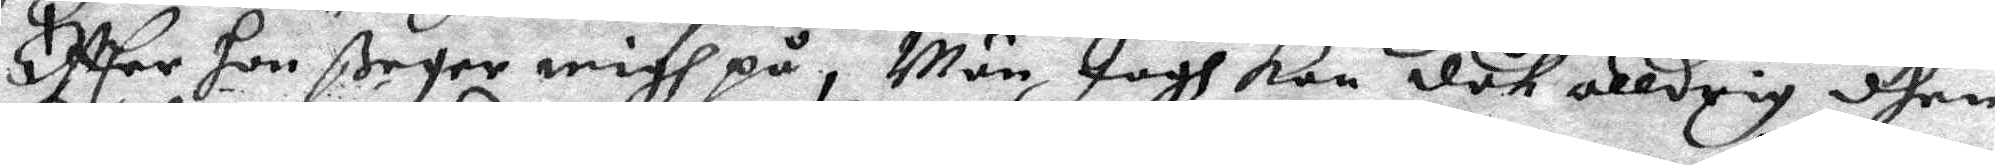Effter hon ßager migh på, Män Jagh Kan dåh alldrig dhen
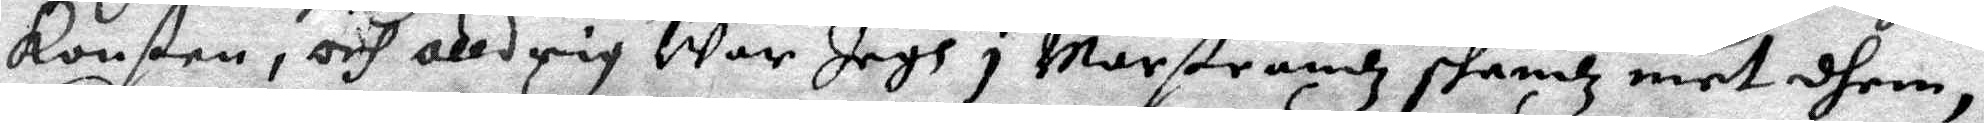konsten, och alldrig War Jagh i Marstrandz skandz met dhem,
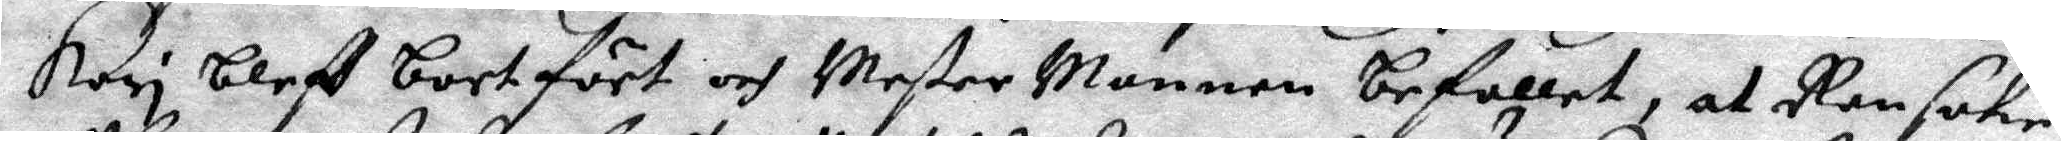Kari bleff bortfört och Mester Mannen befallet, at Ransake
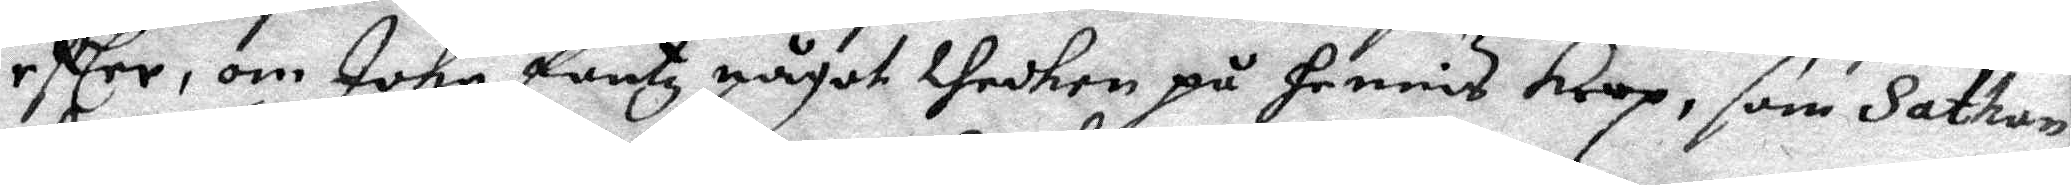effter, om Johr fantz något thechen på hennes krop, som Sathan
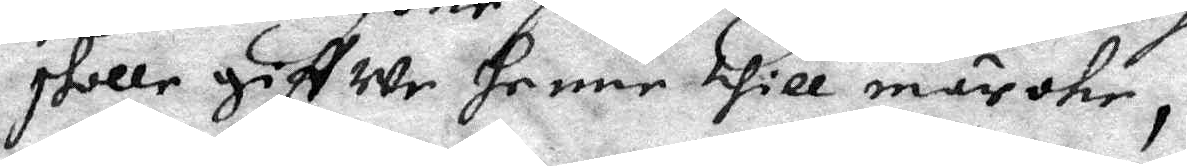skolle giffwe henne till märche,
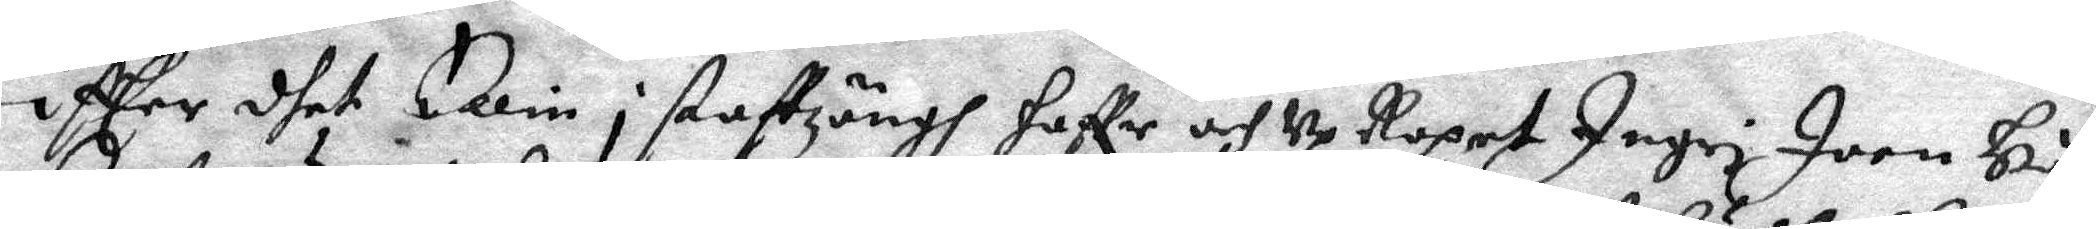Effter dhet Ellin i staftzängh haffr och UpRopet Ingri Joen Hå¬
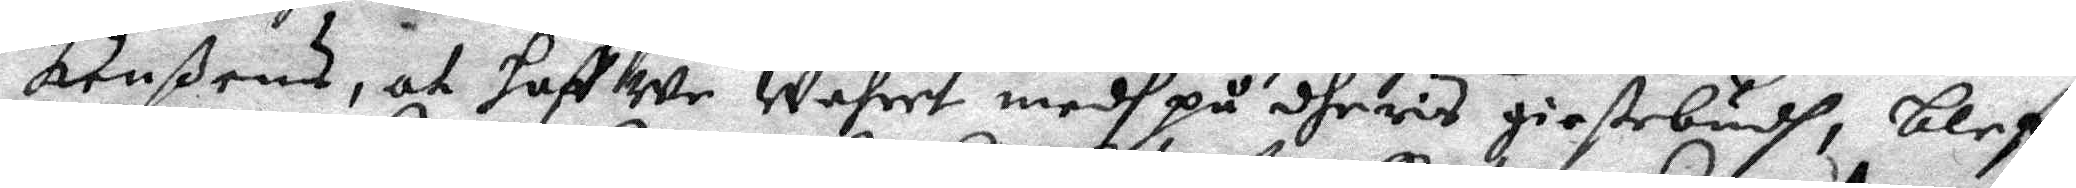kenßens, at haffwe Währet medh på dheris giestebudh, bleff
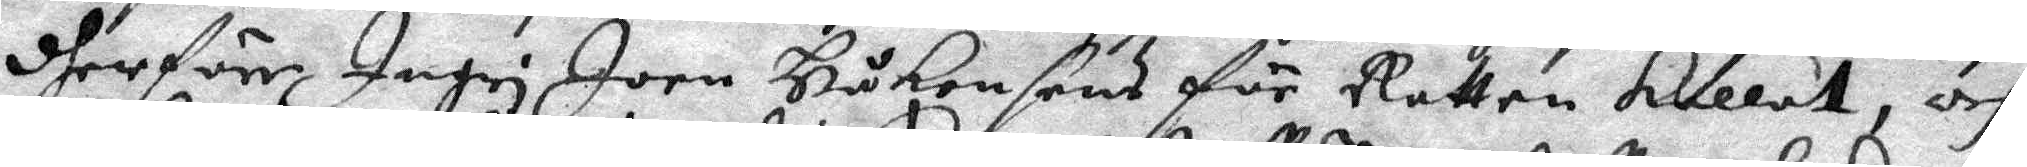dherför Ingri Joen Håkonsens för Rätten kallat, och
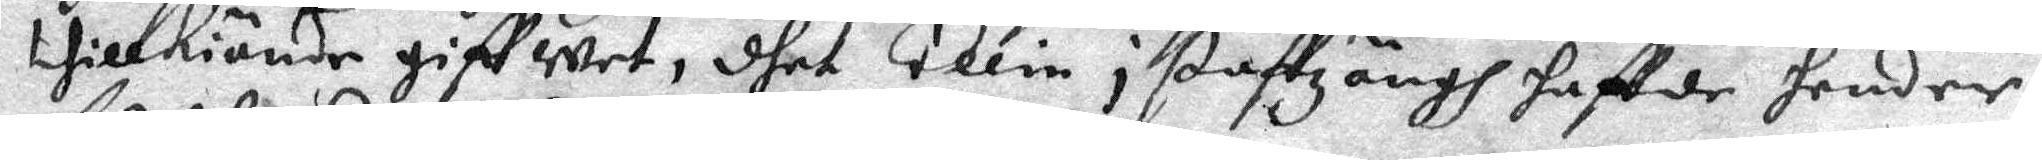tillkiände giffwet, dhet Ellin i staftzängh haffde hender
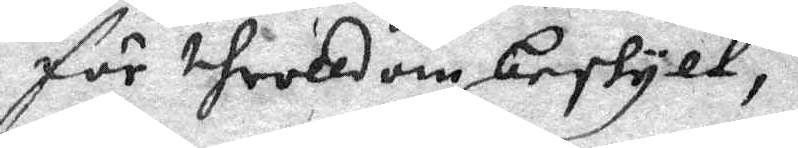för throlldom beskylt,
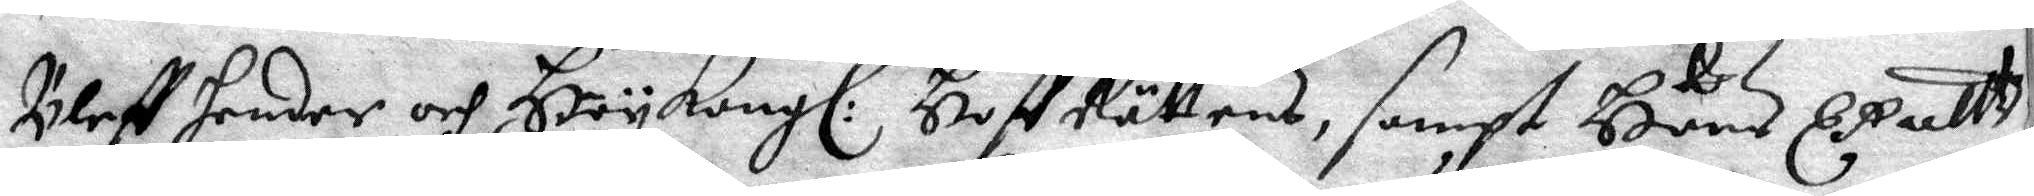Bleff hender och Hög Kongl. Hoff Rättens, sampt Hans Exellt 
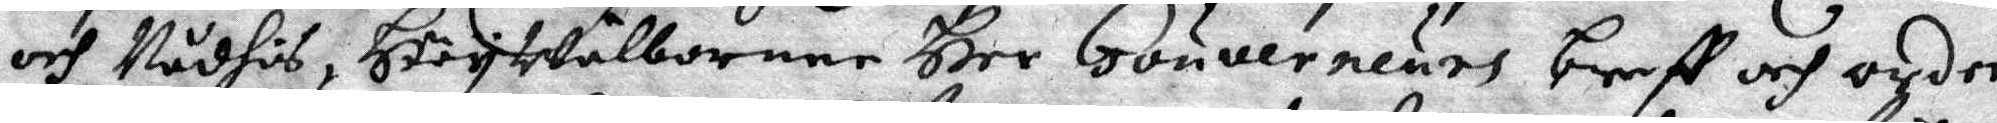och Nådhes HögWälbornen Her Gouverneurs breff och order
